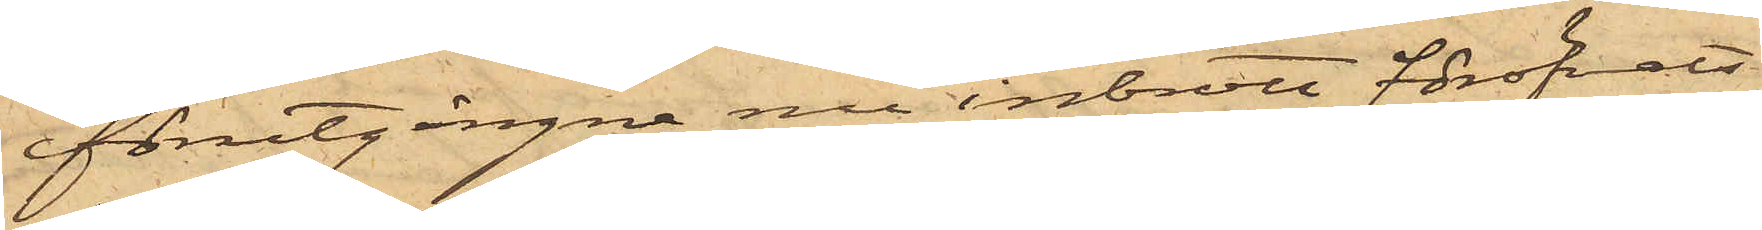förutgångne nu inbrott föröfvats
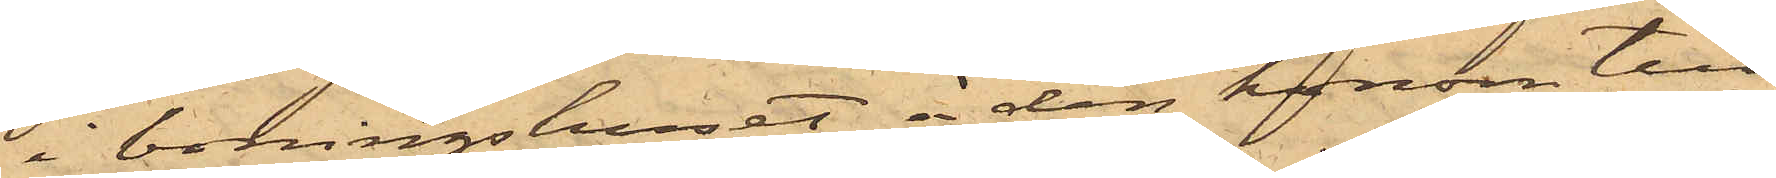i boningshuset å den honom till¬
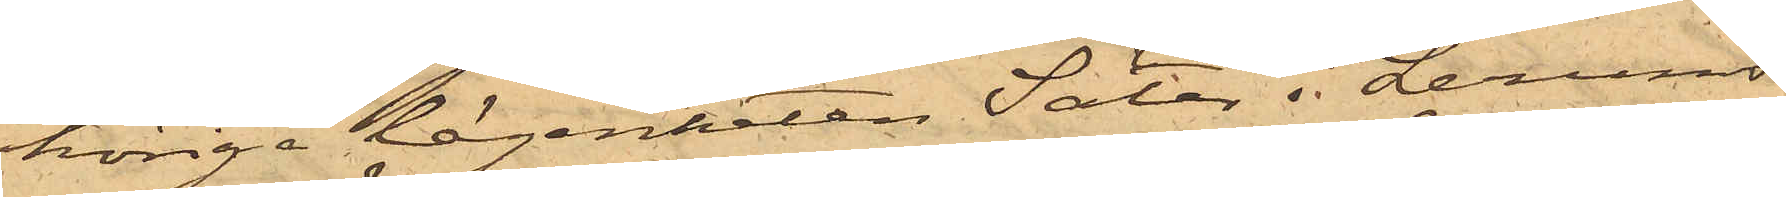hörige lägenheten Säter i Lerums
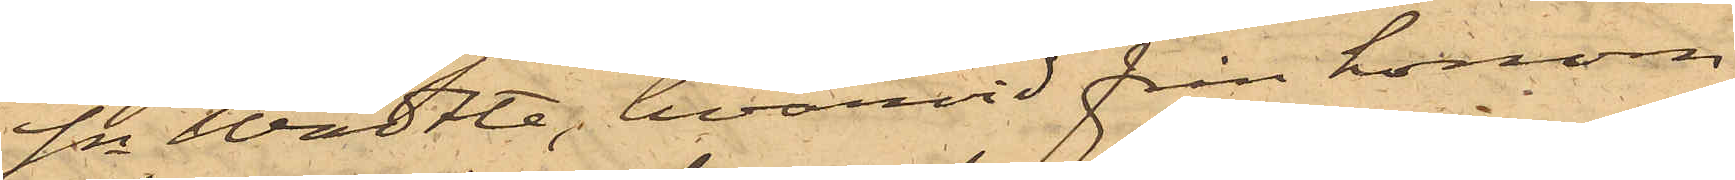Sn Wädtle, hvarvid från honom
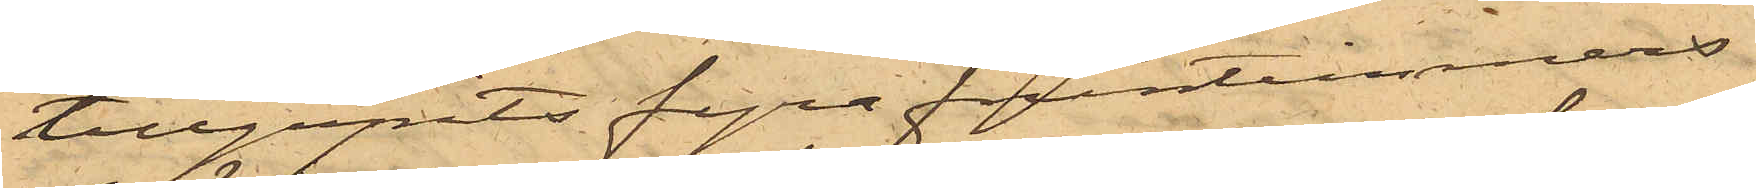tillgripits fyra fruntimmers¬
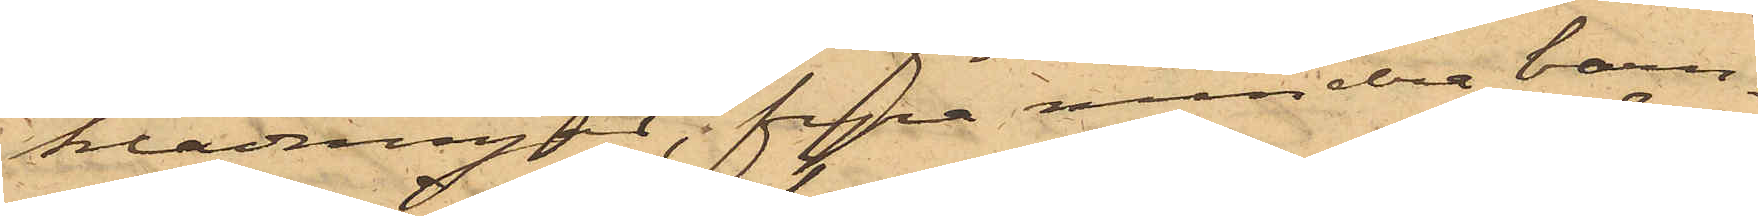klädningar, fyra mindre barn¬
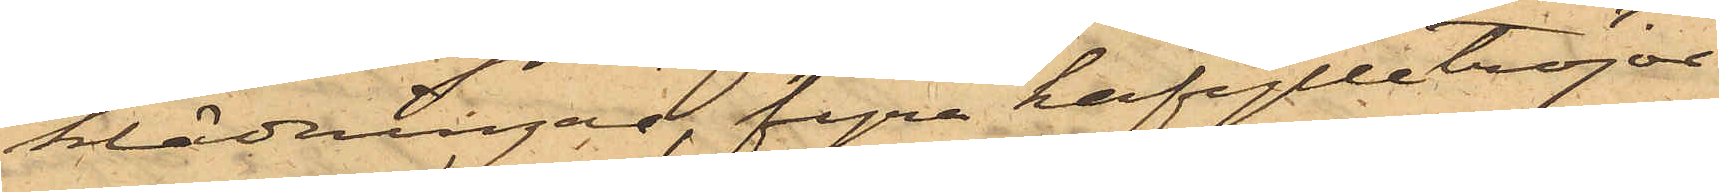klädningar, fyra halfylletröjor
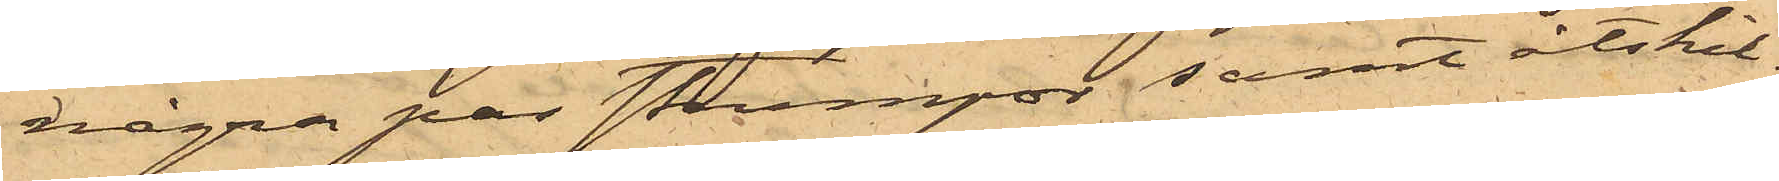några par strumpor samt åtskil¬
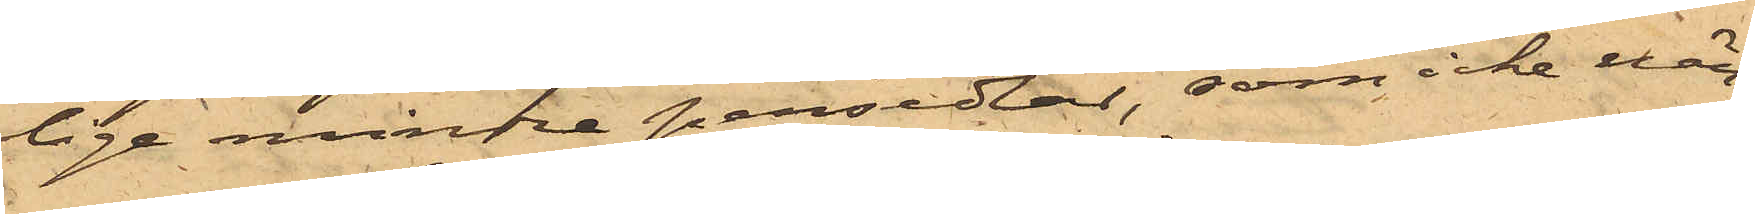lige mindre persedlar, som icke när¬
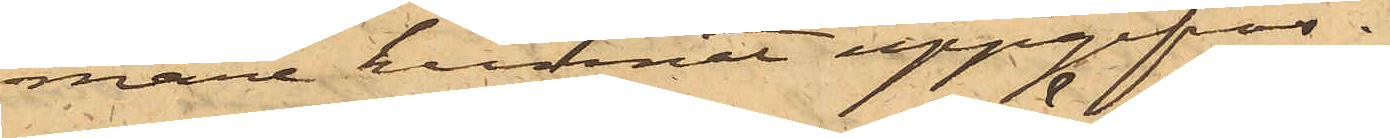mare kunnat uppgifvas.
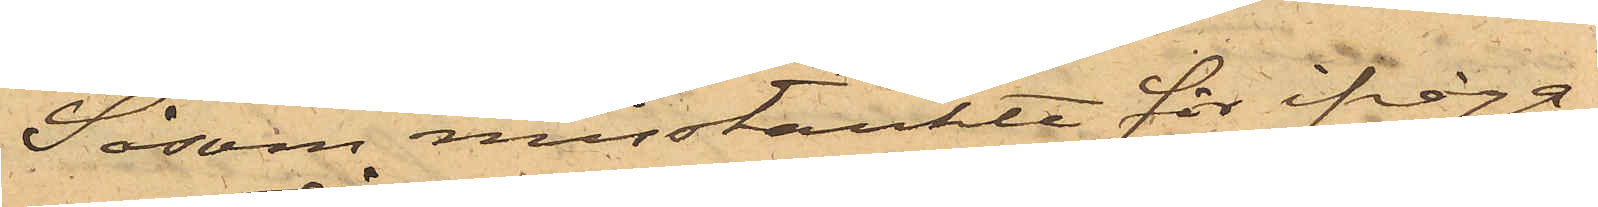Såsom misstänkte för ifråga¬
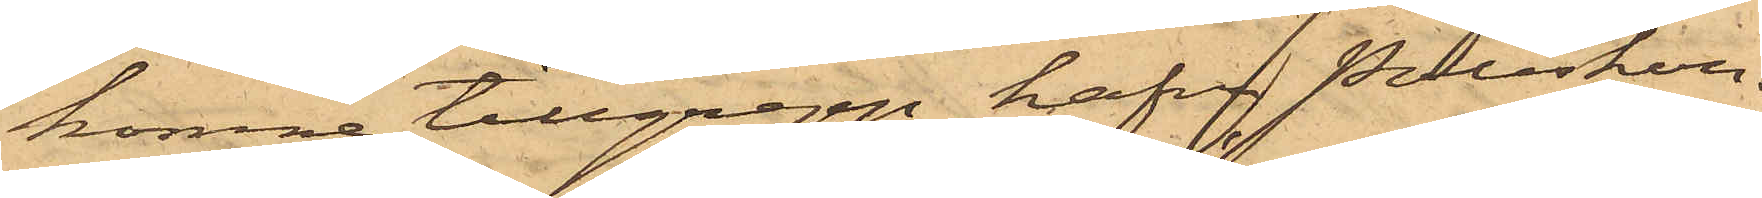komne tillgrepp hafva Poliskon¬
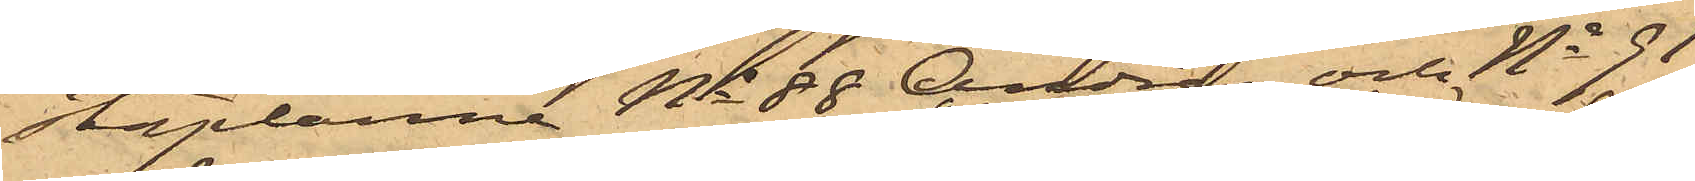staplarne No 88 Andrén och No 91
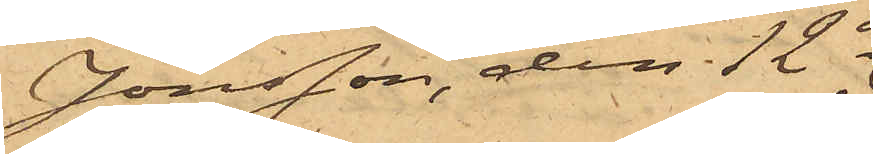Jönsson, den 12 ds
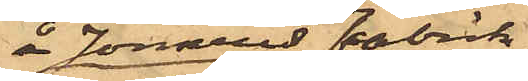å Jonsereds Fabrik
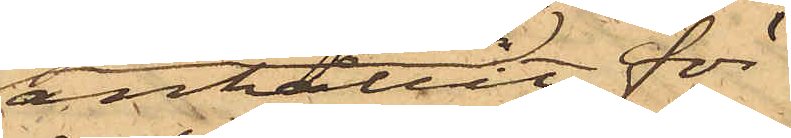anhållit för
